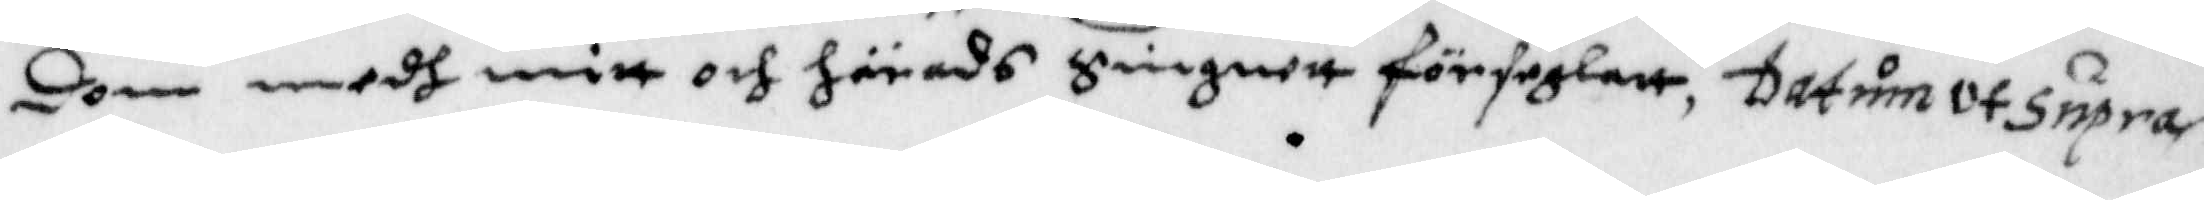dom medh mitt och härads Singnett förseglatt, Datum ut Supra
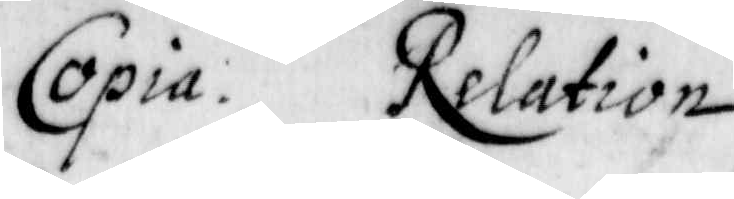Copia Relation
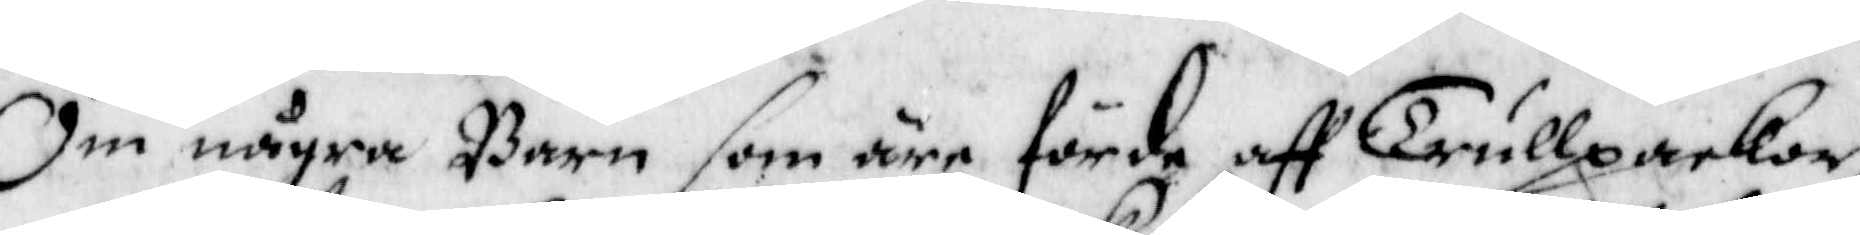Om någre Barn som äre förde aff Trullpackor,
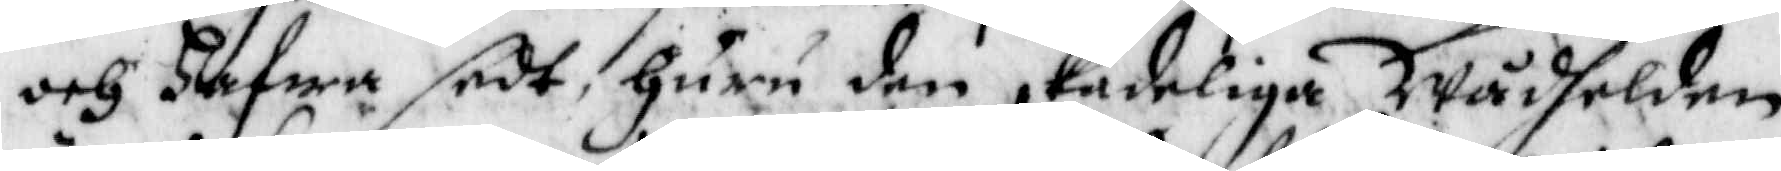och hafwa sedt, huru den skadeliga Wådhelden
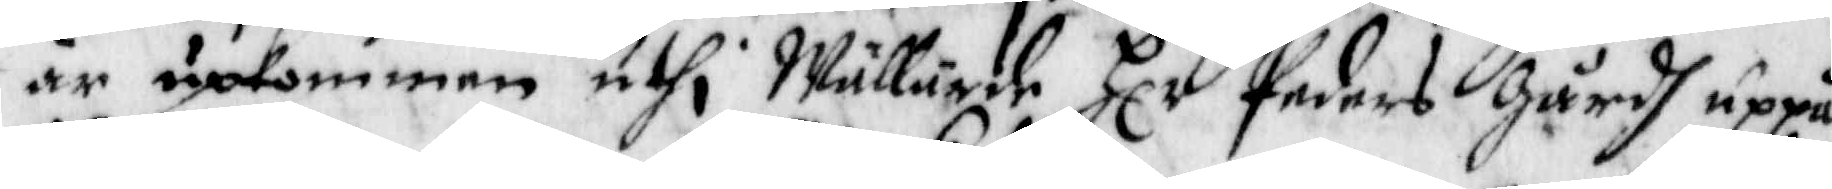är upkommen uthi Wällärde Hlr Peders gårdh uppå
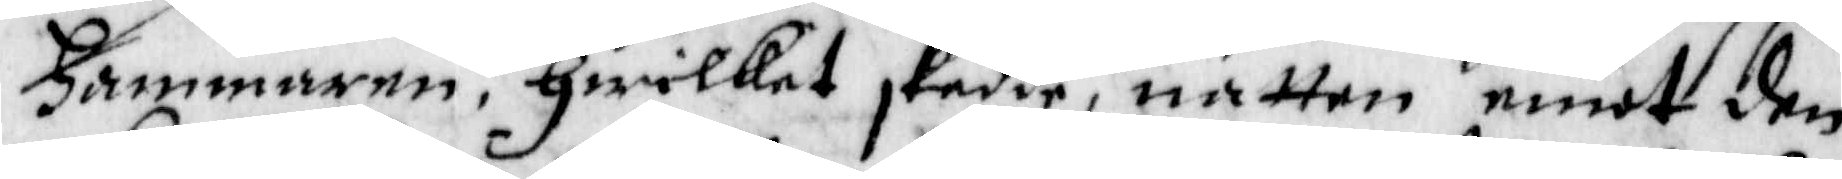Hammaren, hwilket skedde, natten emot den
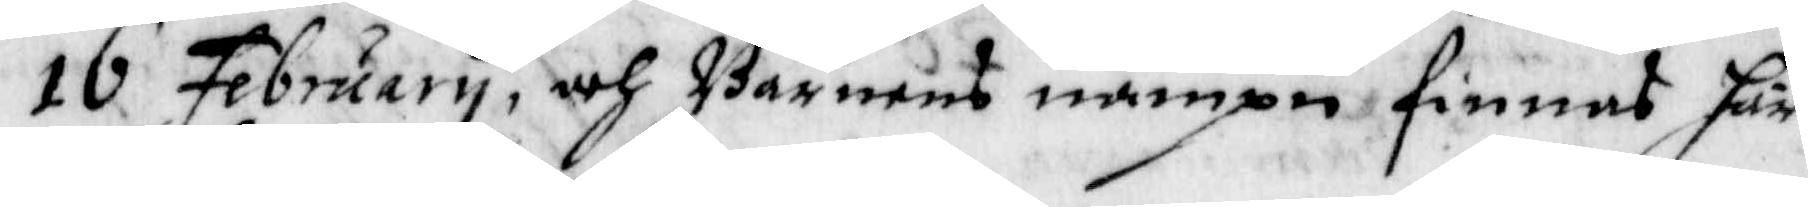15 February, och Barnens nampn finnas här
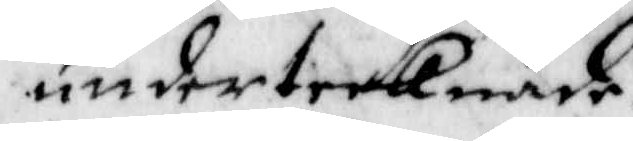undertecknade.
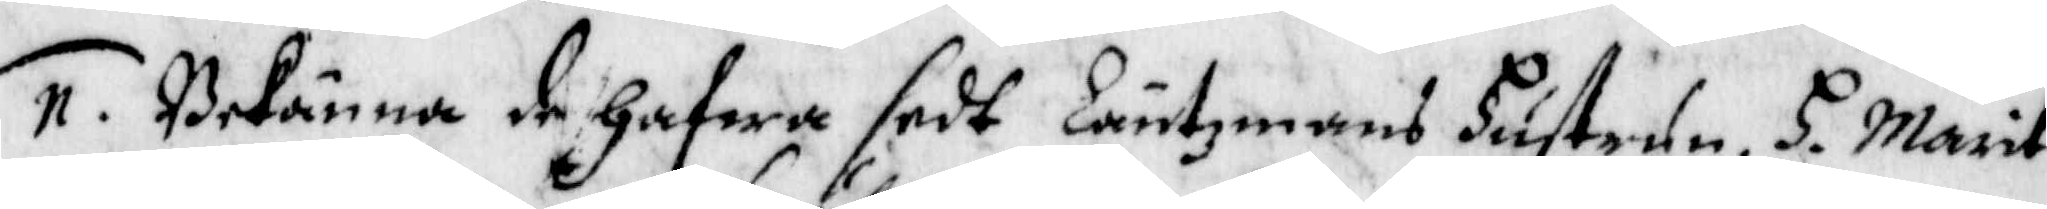11. Bekänna de hafwa sedt Läntxmans hustrun H. Marit
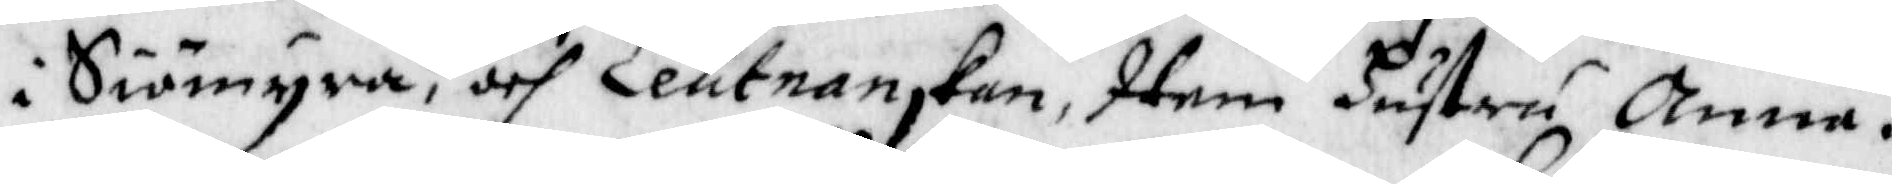i Siömyra, och Leutnanskan, Item Hustru Anna i
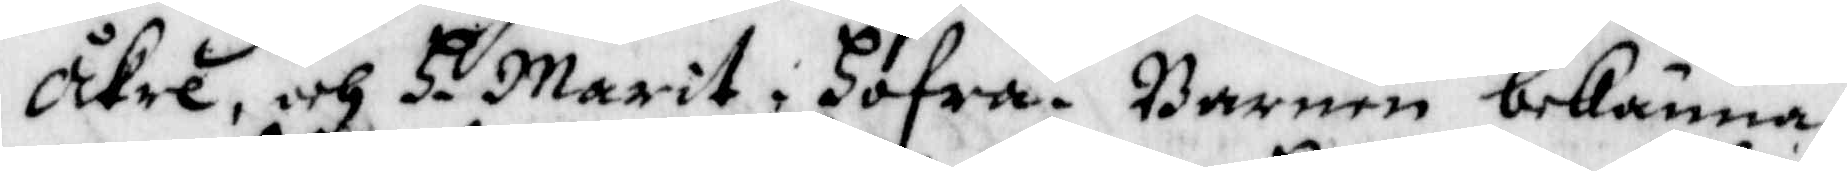Åkre, och H. Marit i Hofra. barnen bekänna
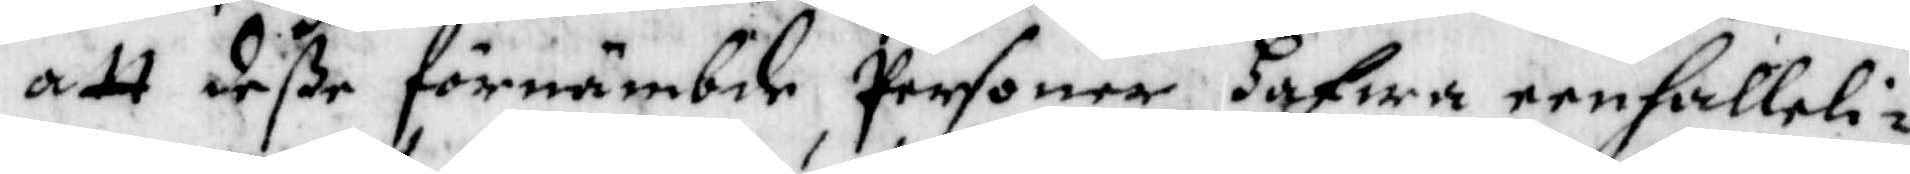att deße förnämbde personer hafwa eenfalleli¬
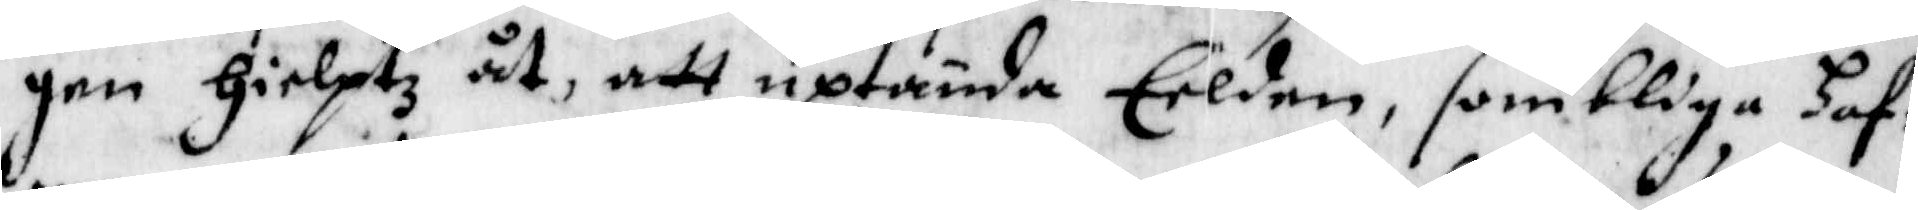gen Hielptz åt, att uptända Elden, sombliga haf¬
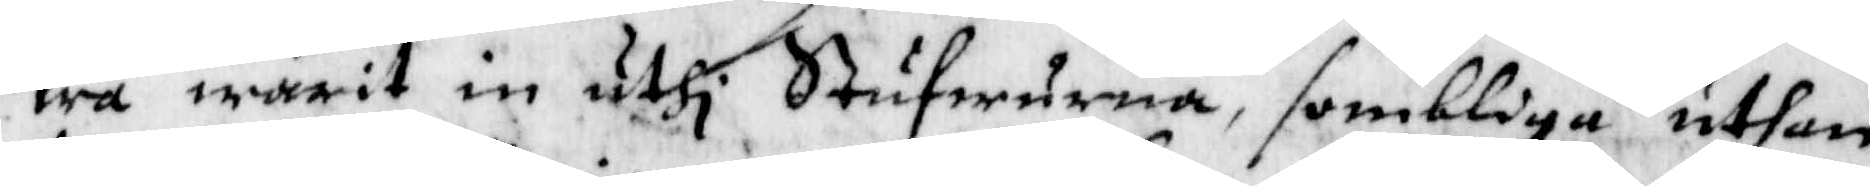wa warit in uthi Stufwurna, somblige uthan
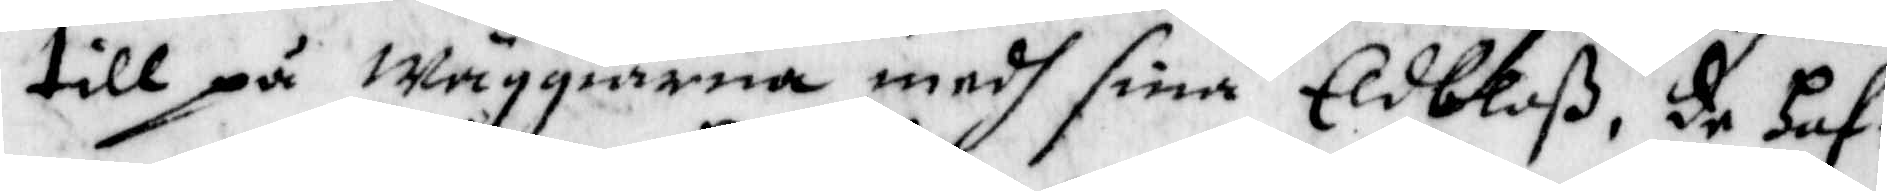till på Wäggiarna medh sina Eldbloß, de haf¬
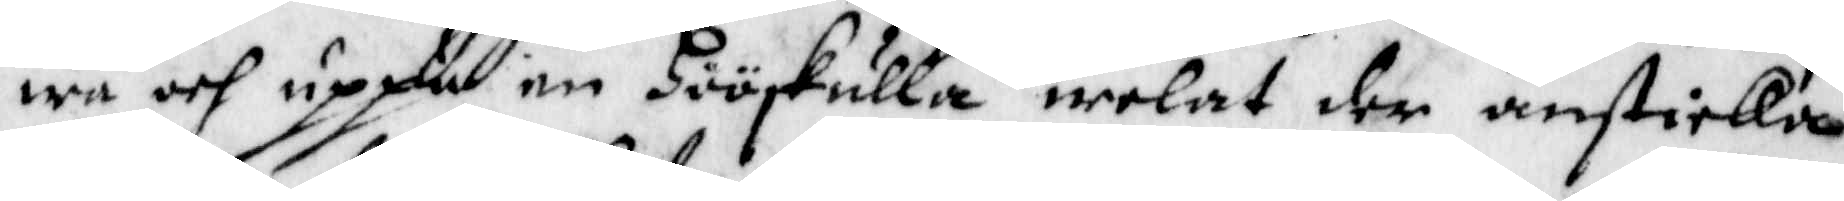wa och uppå en hööskulla welat der ansticka
